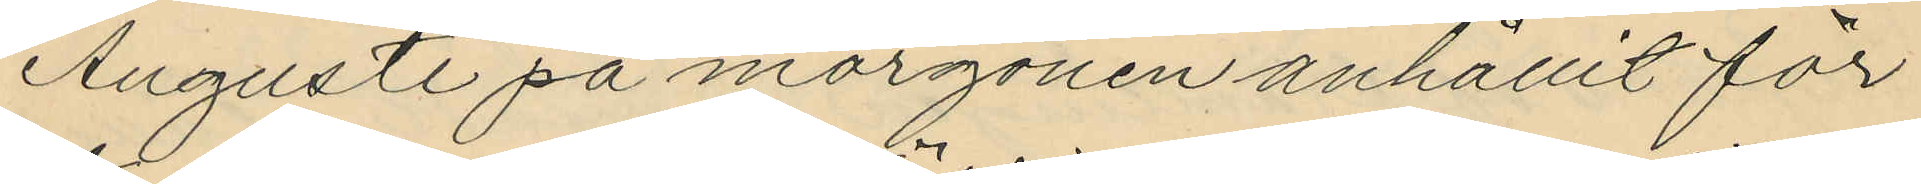Augusti på morgonen anhållit för
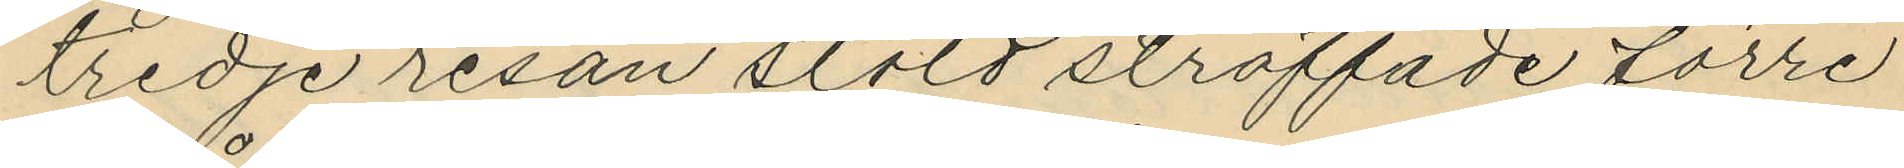tredje resan stöld straffade förre
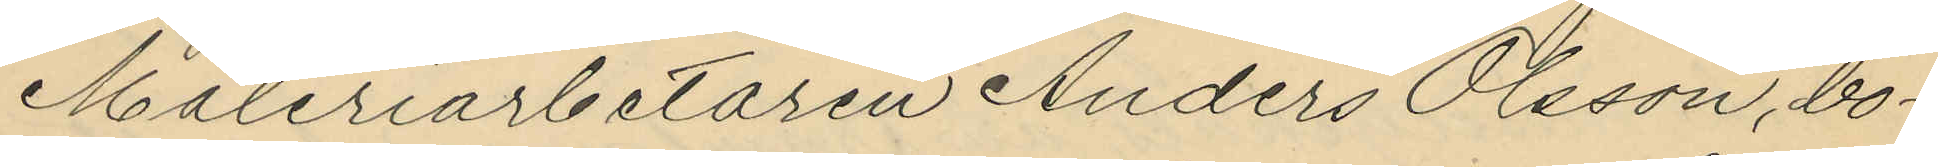Måleriarbetaren Anders Olsson, bo¬
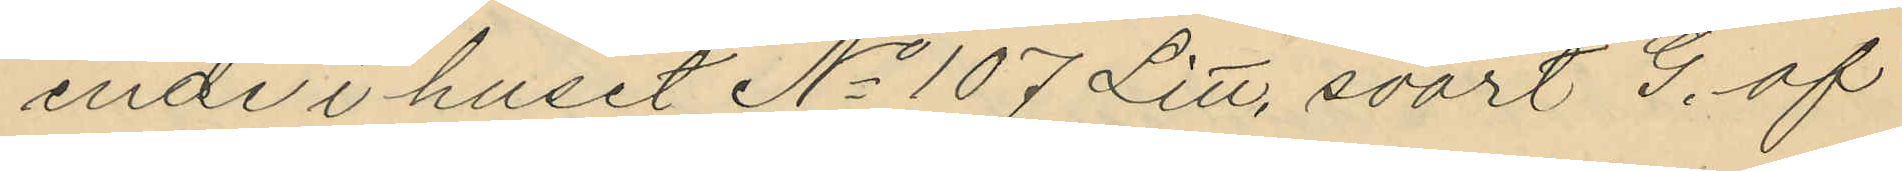ende i huset No 107 Litt, svart G. af
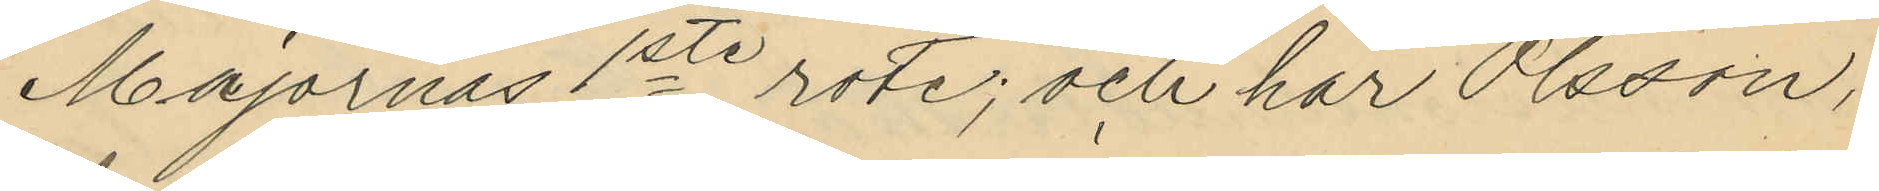Majornas 1ste rote; och har Olsson,
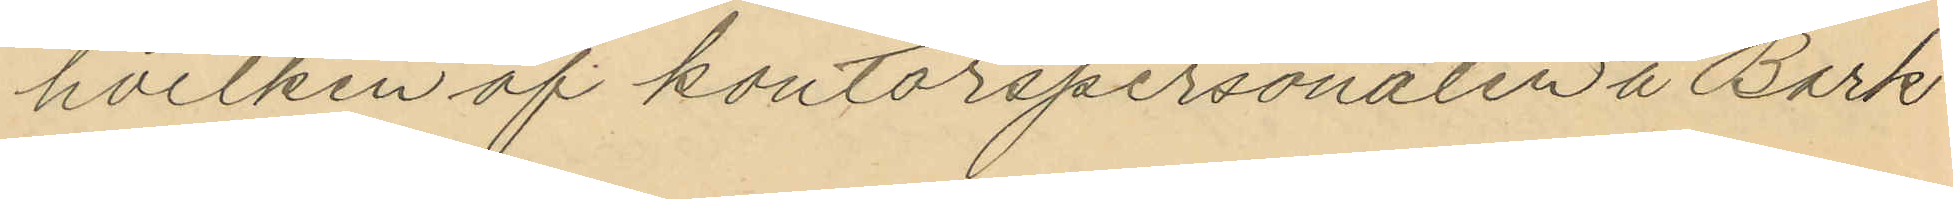hvilken af kontorspersonalen å Bark
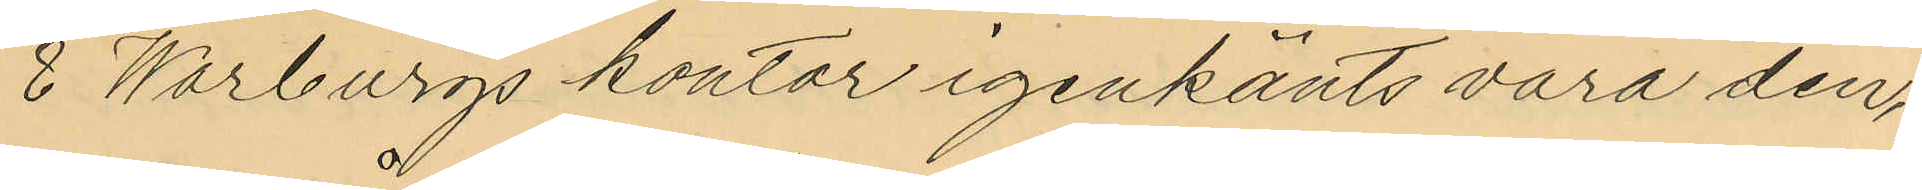& Warburgs kontor igenkänts vara den,
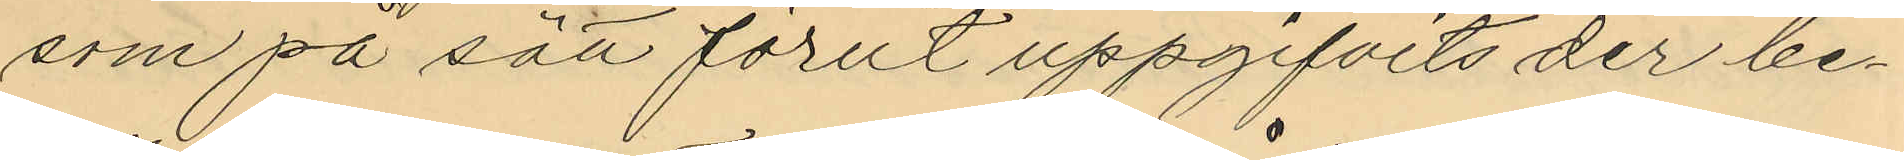som på sätt förut uppgifvits der be¬
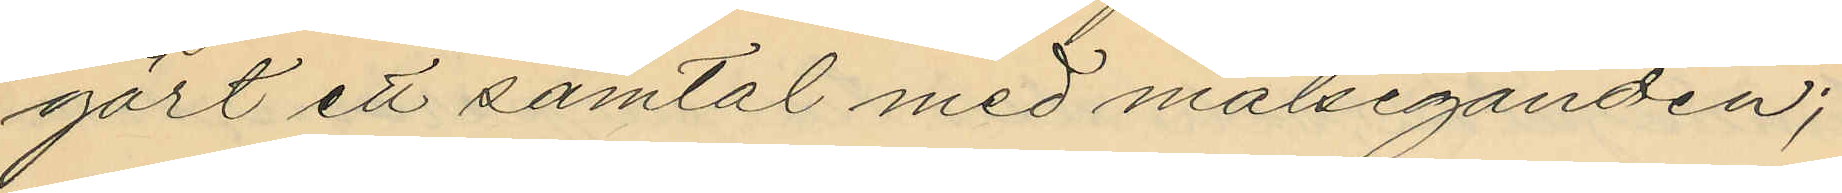gärt ett samtal med målseganden;
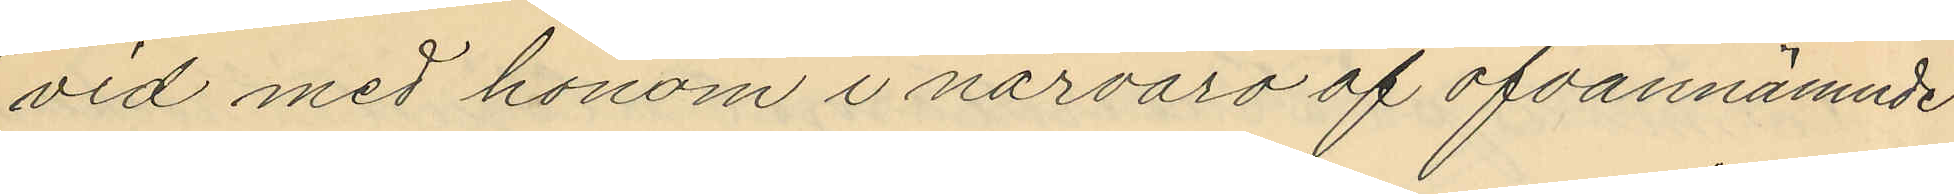vid med honom i närvaro af ofvannämnde
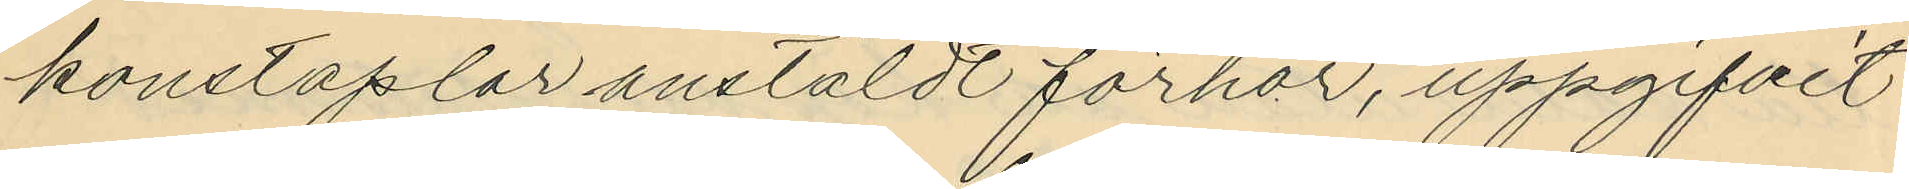konstaplar anstäldt förhör, uppgifvit
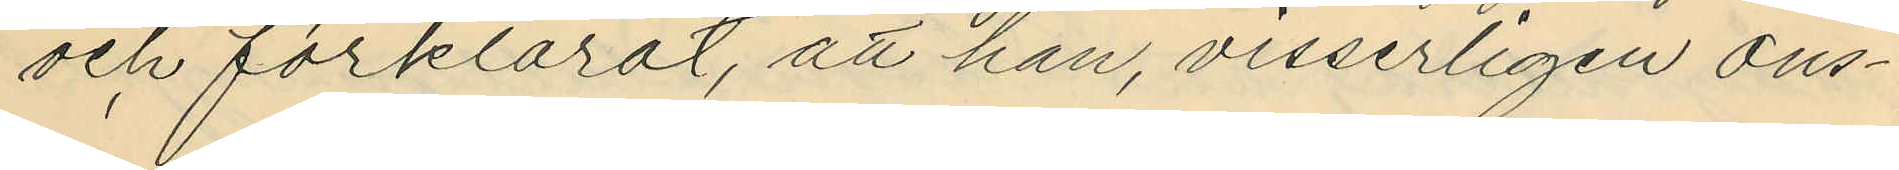och förklarat, att han, visserligen ons¬
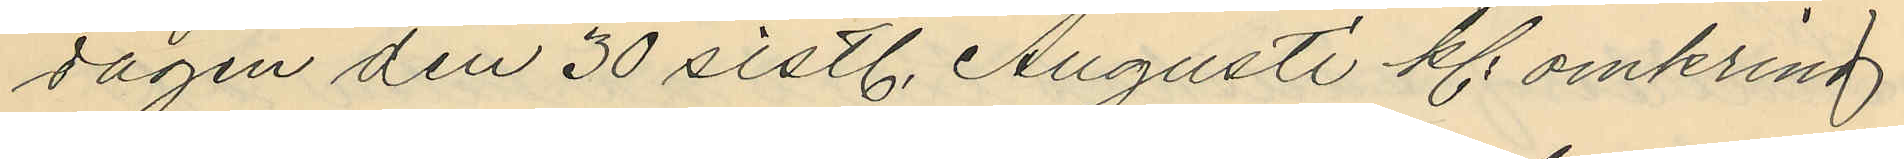dagen den 30 sistl. Augusti kl. omkring
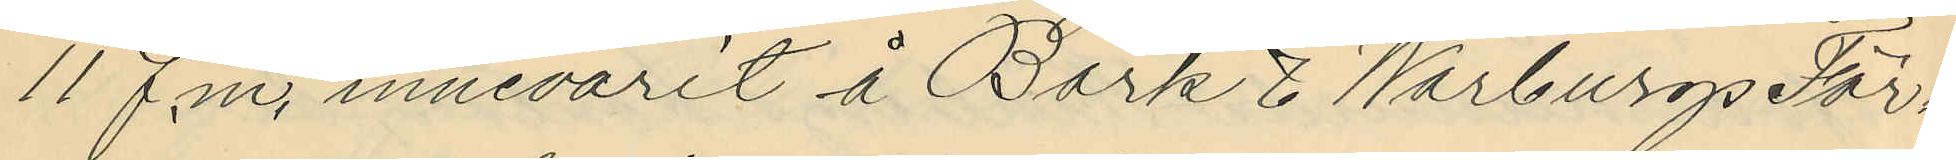11 f.m. innevarit å Bark & Warburgs För¬
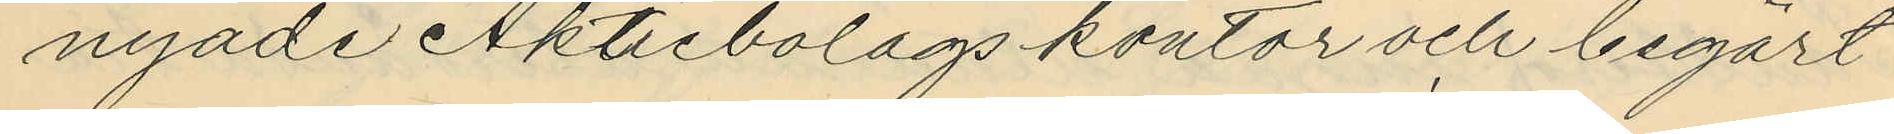nyade Aktiebolags kontor och begärt
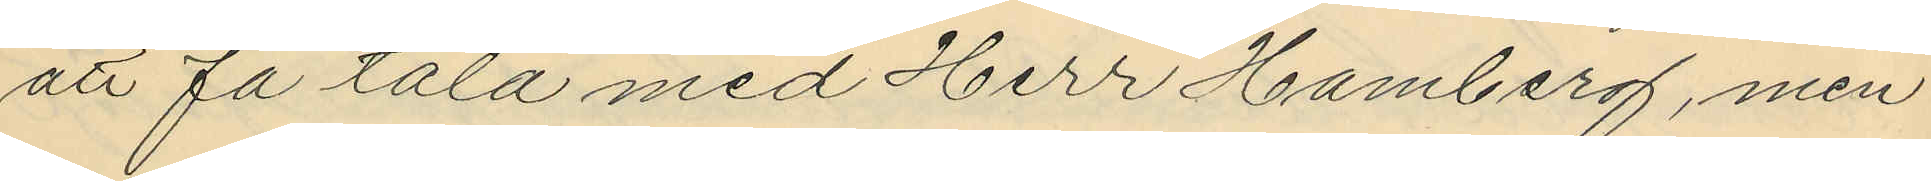att få tala med Herr Hamberg, men
